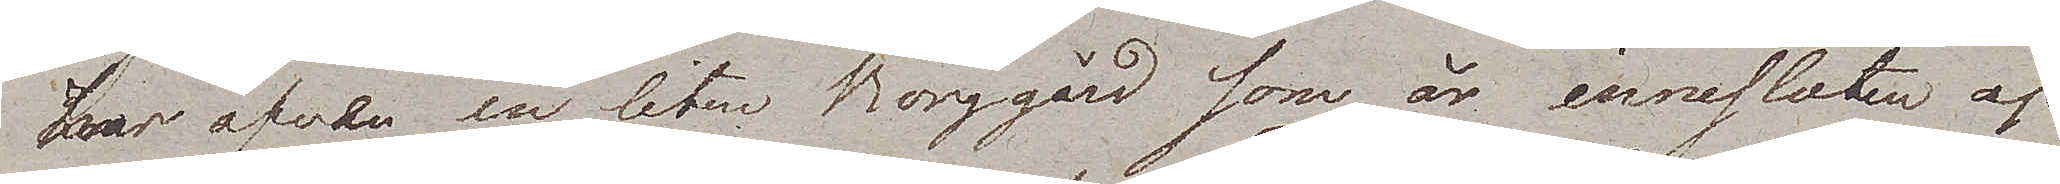har äfven en liten Borggård som är innesluten af
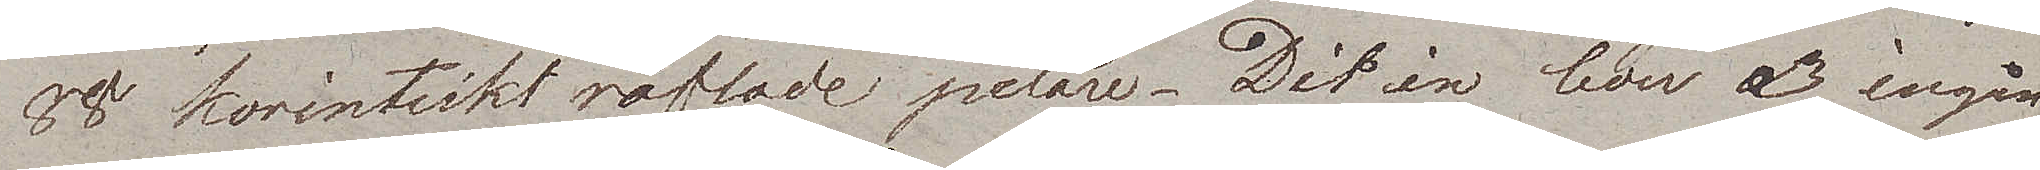88 korintiskt räflade pelare. Dit in leder 3 ingån¬
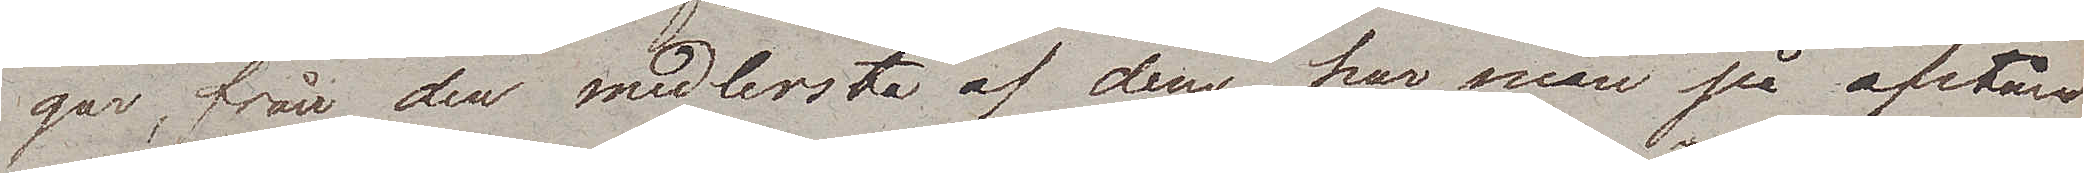gar, från den medlersta af dem har man på afstånd
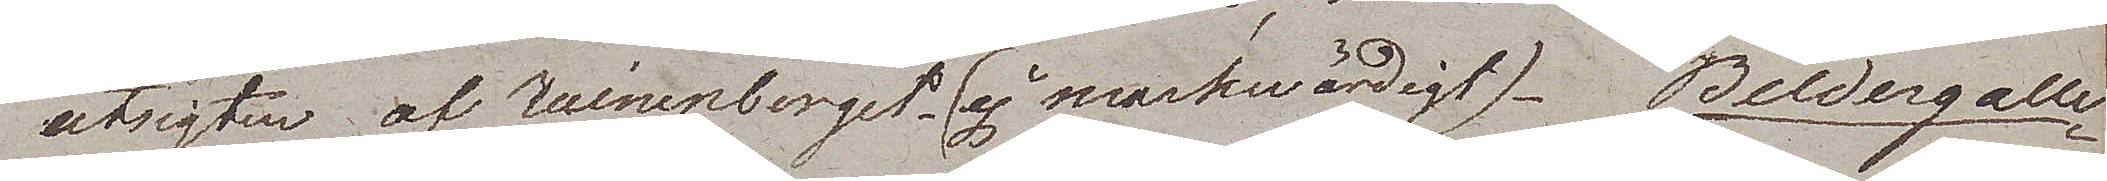utsigten af Ruinenberget (ej märkwärdigt). Bildergalle¬
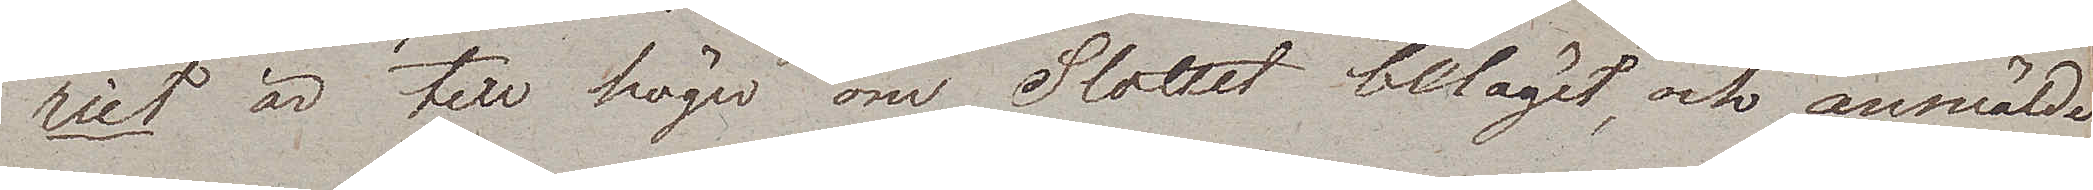riet är till höger om Slottet beläget, och anmälde
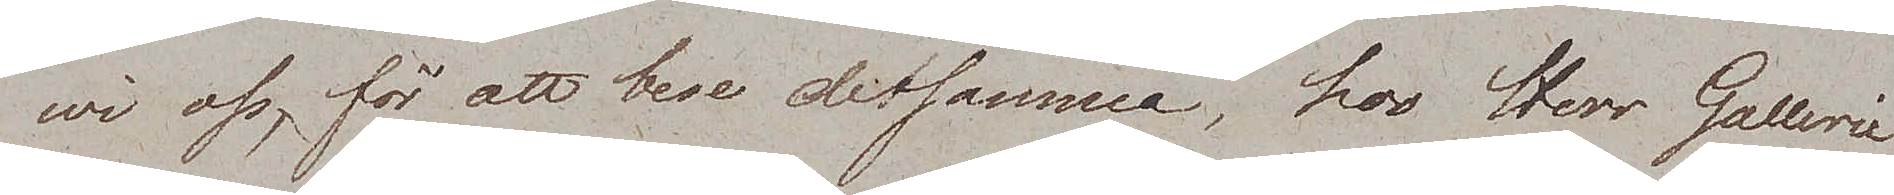wi oss, för att bese detsamma, hos Herr Gallerie
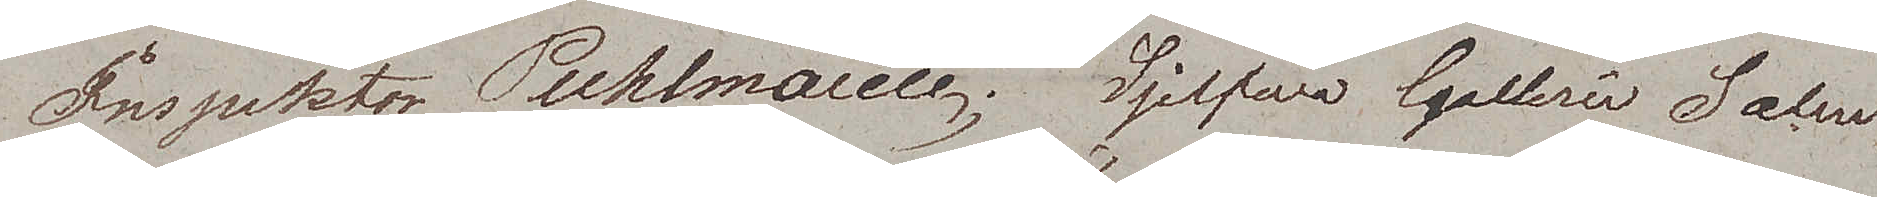Inspektor Puhlmann. Sjelfwa Gallerie Salen
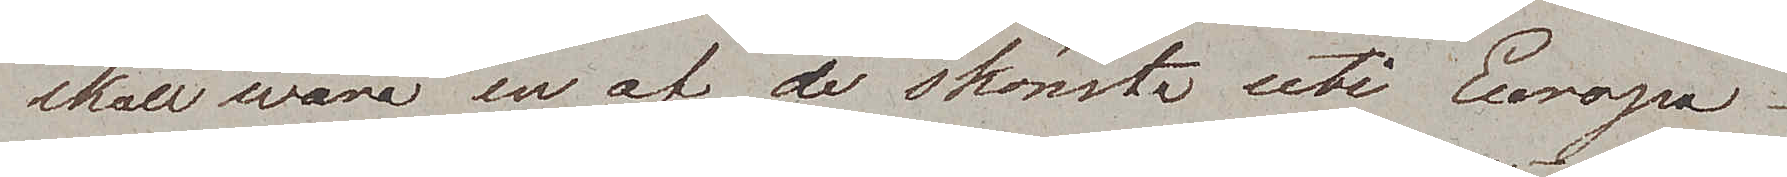skall wara en af de skönsta uti Europa.
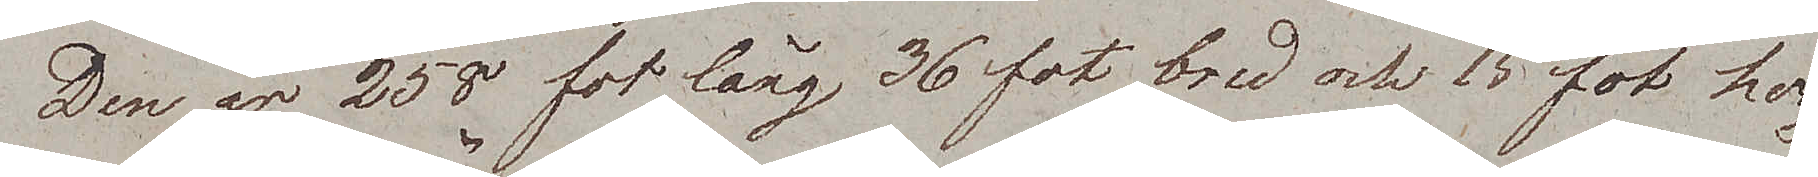Den är 258 fot lång 36 fot bred och 15 fot hög.
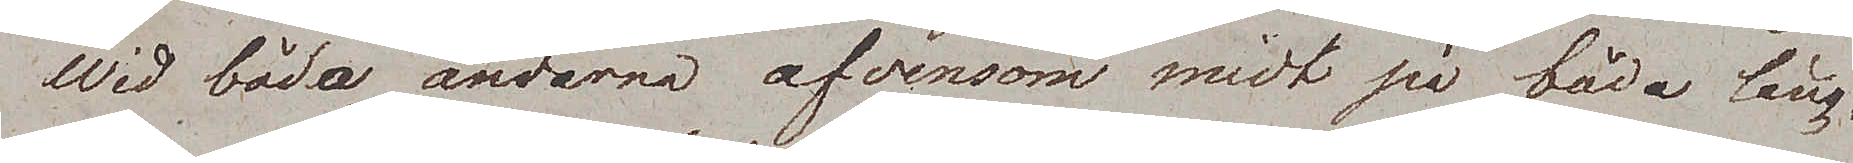Wid båda ändarna äfvensom midt på båda lång¬
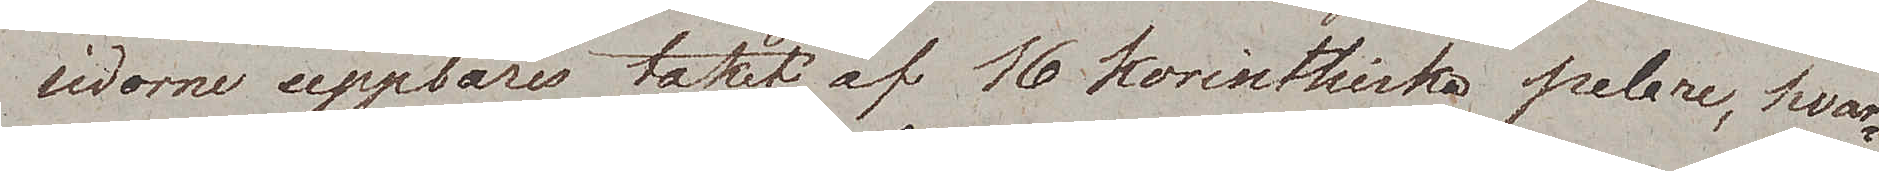sidorne uppbäres taket af 16 korinthiska pelare, hvar¬
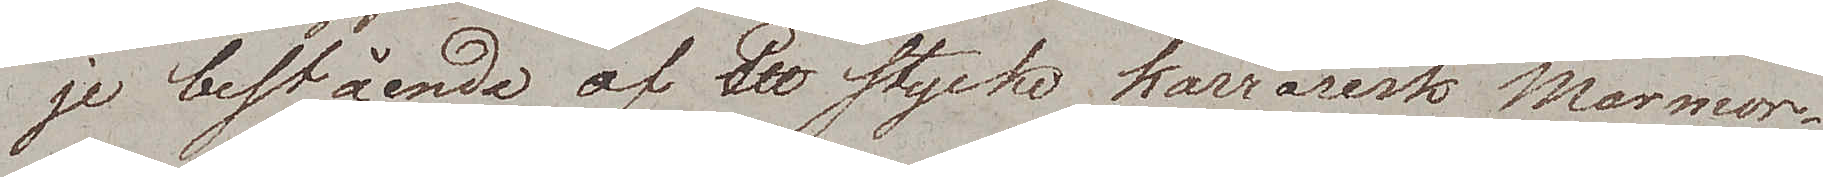je bestående af ett stycke karrarisk Marmor.
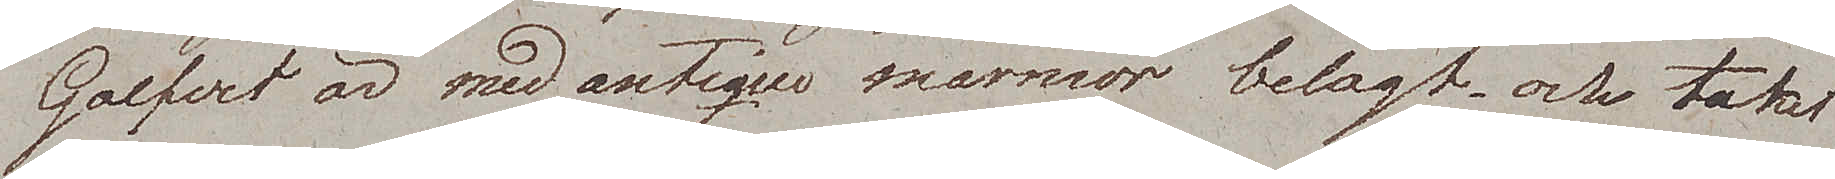Golfvet är med antique marmor belagt och taket
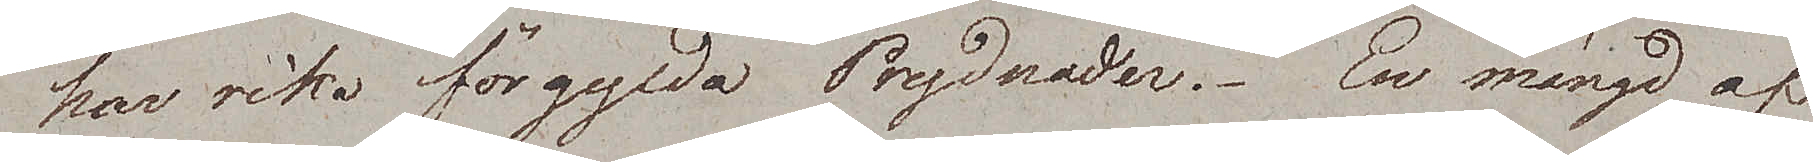har rika förgylda Prydnader. En mängd af
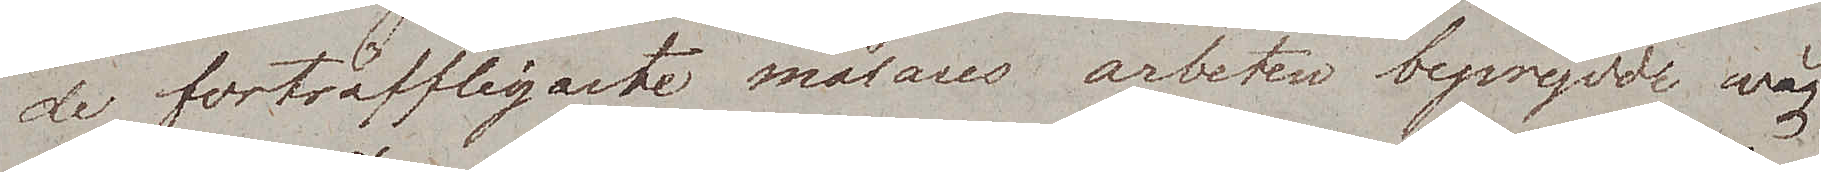de förträffligaste målares arbeten beprydde wäg¬
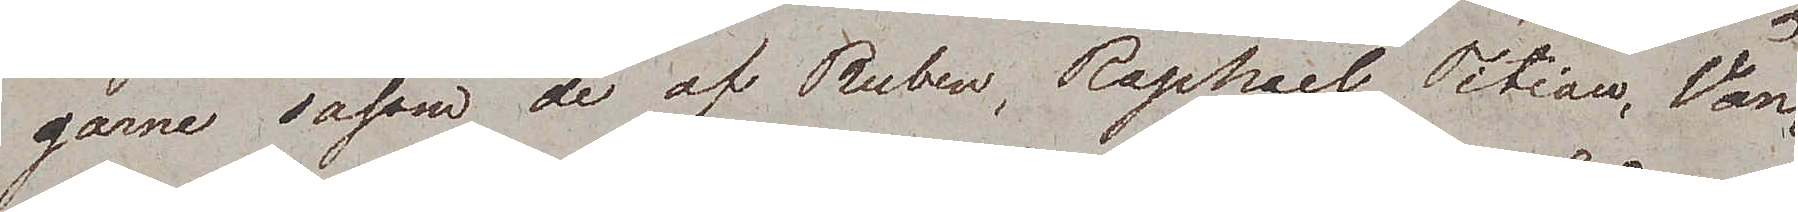garne, såsom de av Ruben, Raphael, Titian, Van¬
